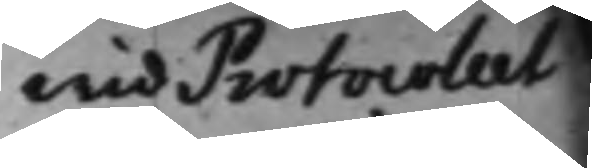Wid Protocollet
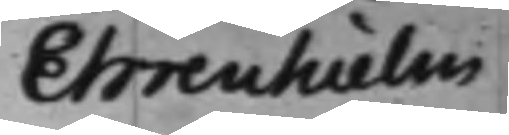Ehrenhielm
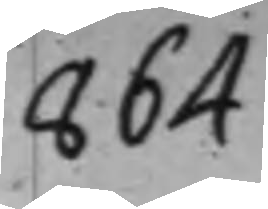864
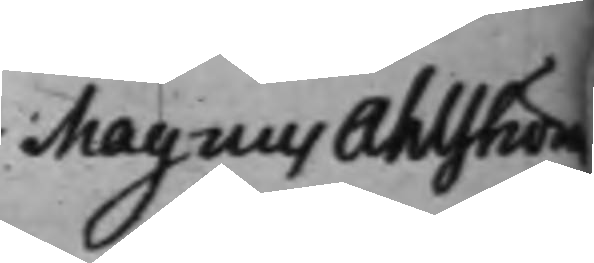Magnus Ahlström
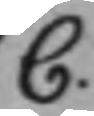C.
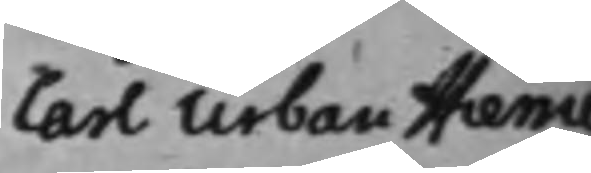Carl Urban Hierne
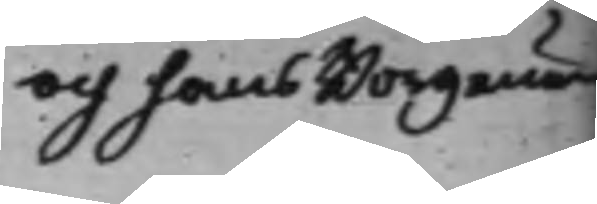och hans Borgenärer
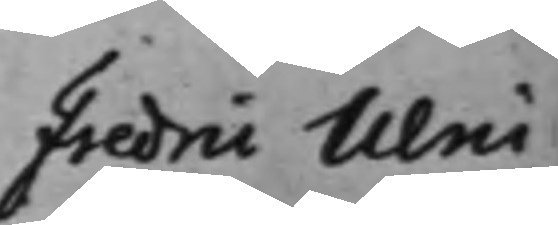Fredric Ulric
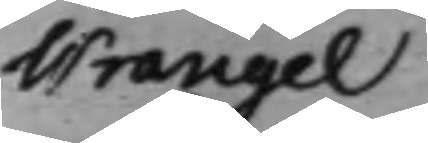Wrangel
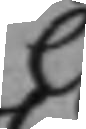C
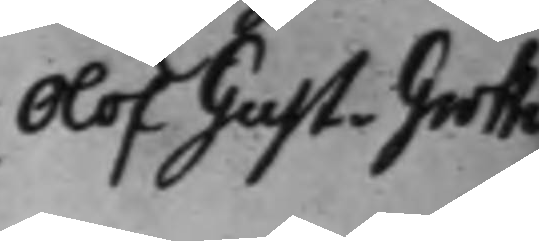Olof Gust. Groth
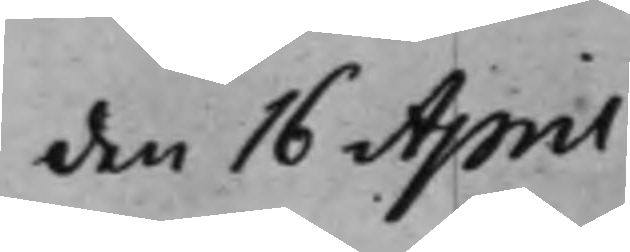den 16 April
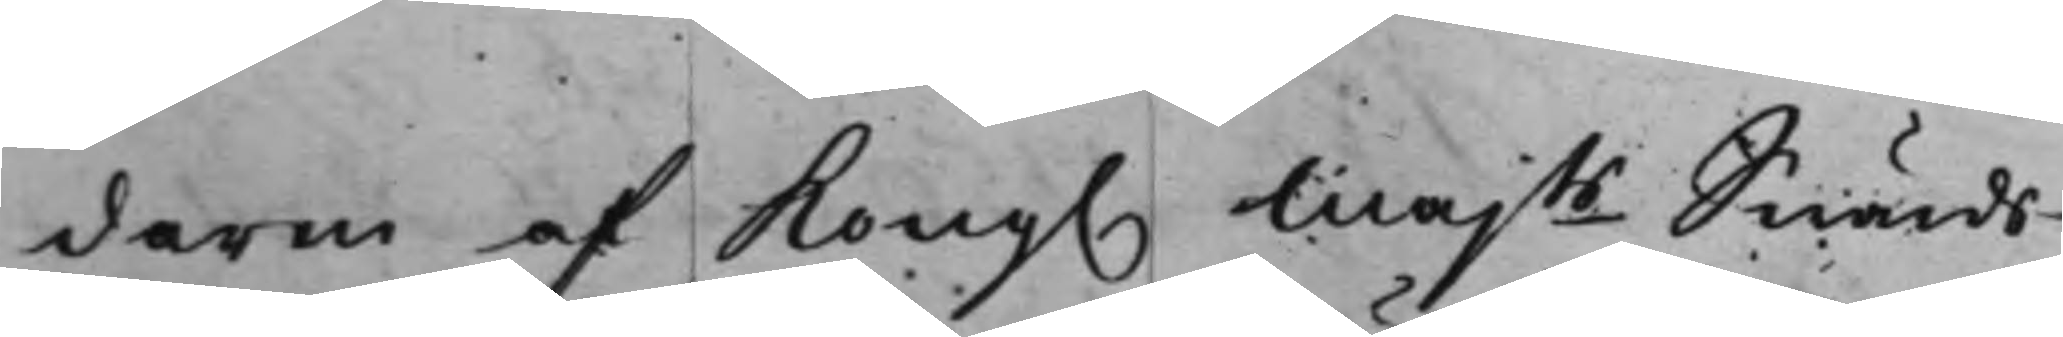daren af Kong. Majts Swärds¬
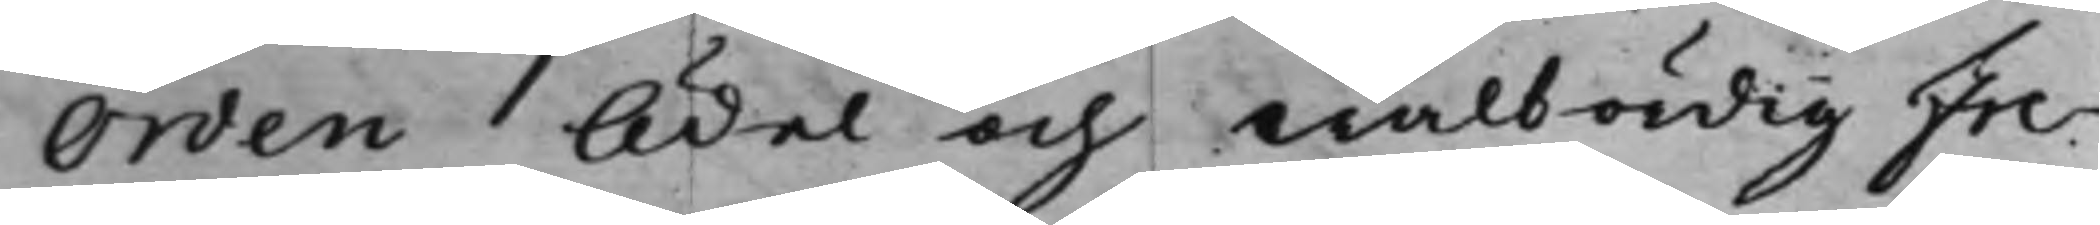Orden Ädel och Wälbördig Fre¬
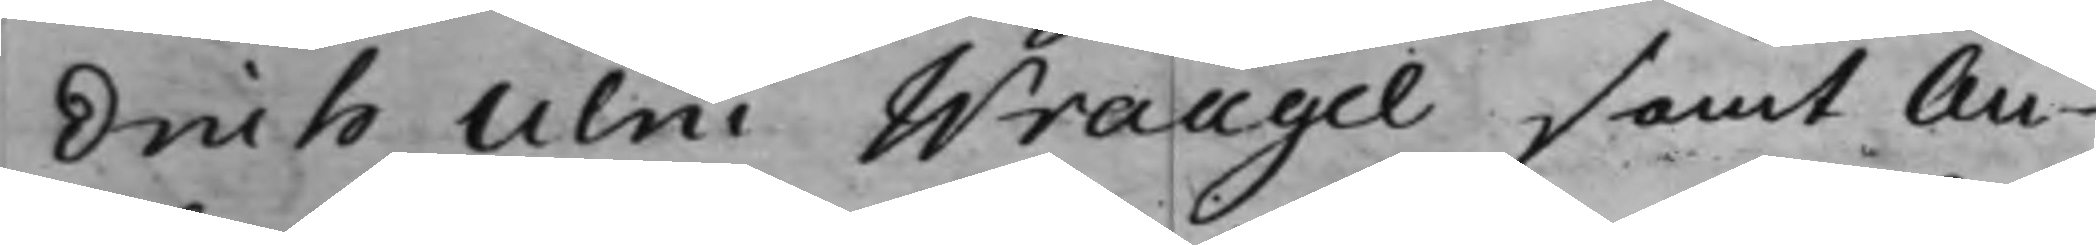drich Ulric Wrangel, samt Au¬
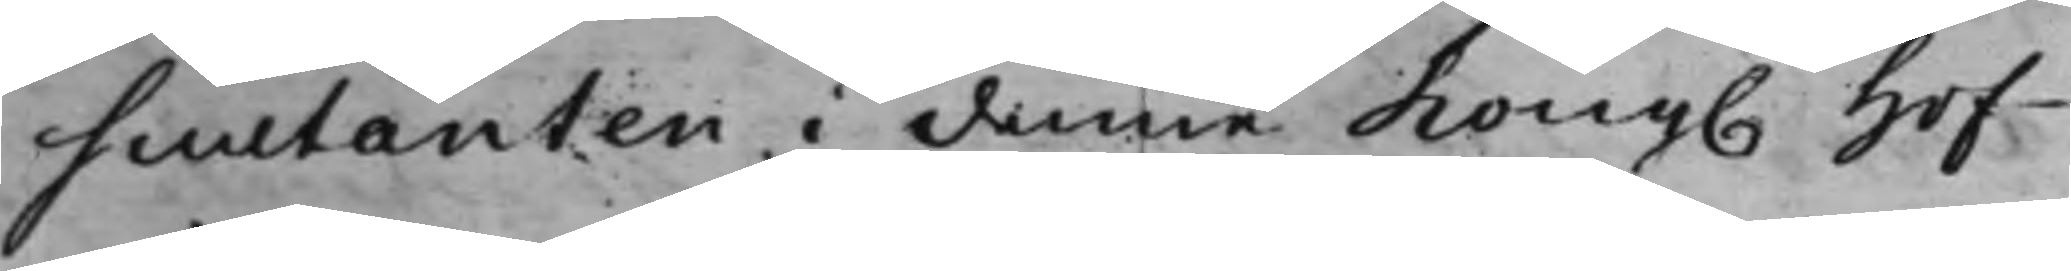scutanten i denne Kong. Hof¬
